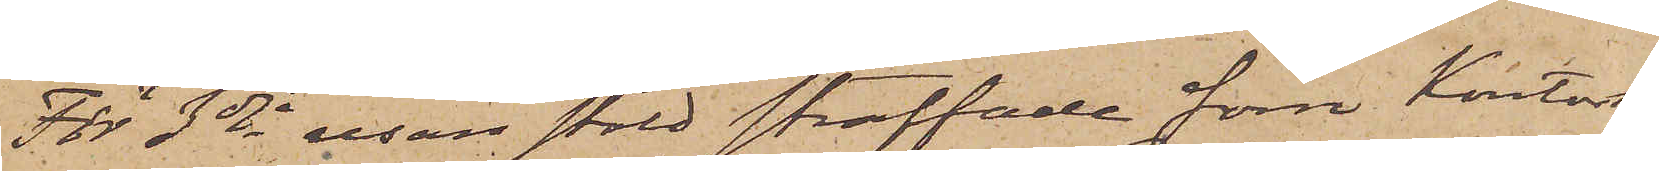För 3dje resan stöld straffade förre Kontors¬
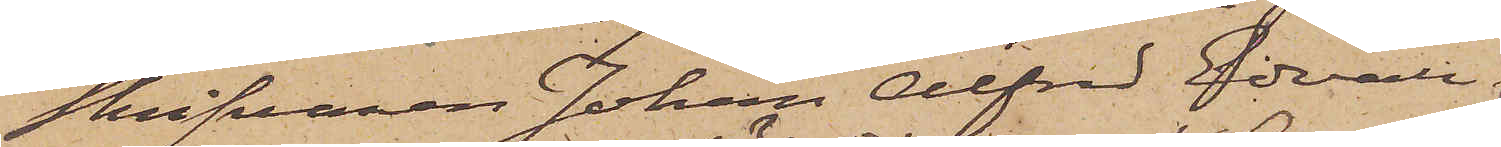skrifvaren Johan Alfred Edvall
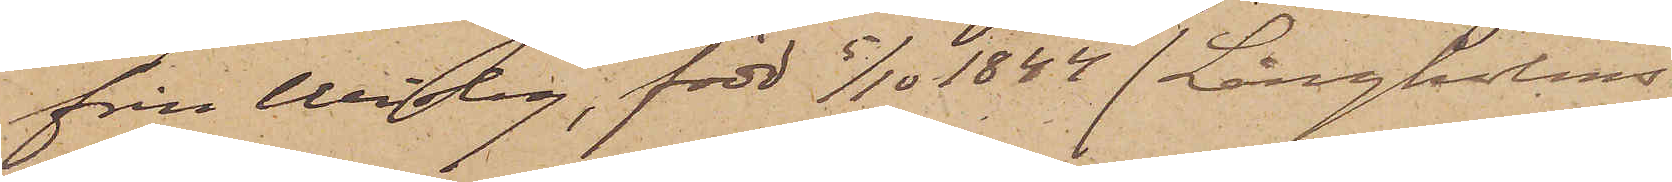från Wisby, född 5/10 1844 (Långholms
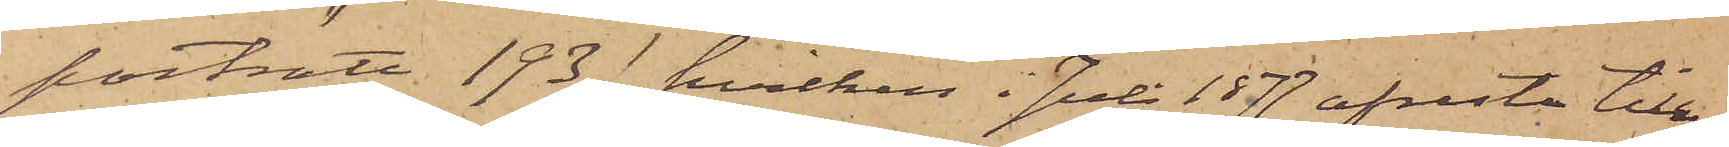porträtt 193), hvilken i Juli 1877 afreste till
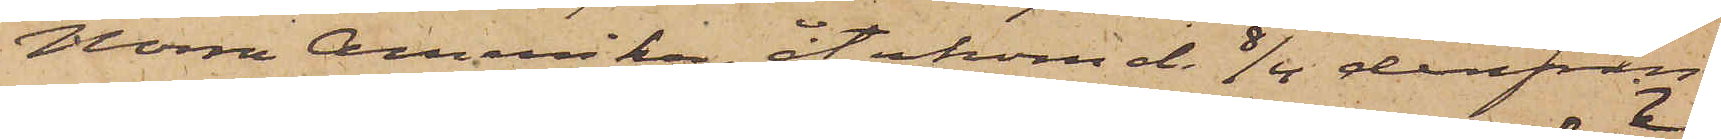Norra Amerika, återkom d. 8/4 derifrån
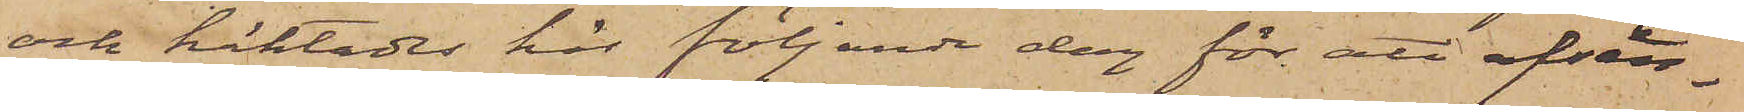och häktades här följande dag för att afsän¬
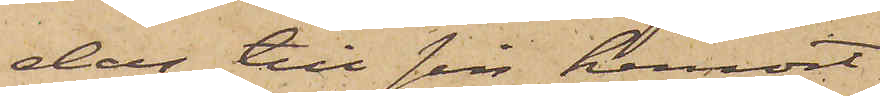das till sin hemort.
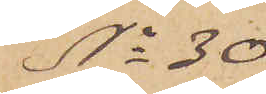No 30
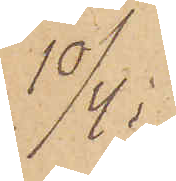10/4.
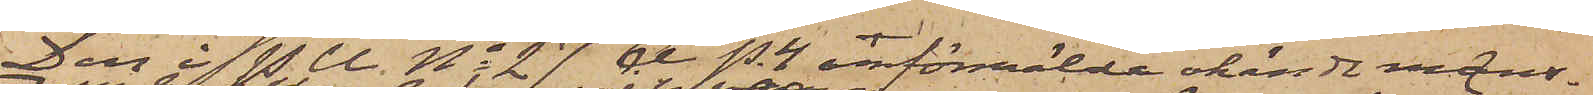Den i P. U. No 27 A P. 4 omförmälda okände mans¬
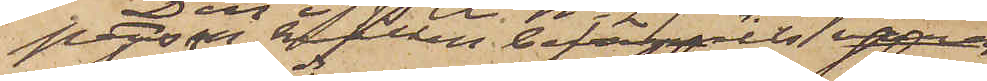person, hvilken befunnits vara
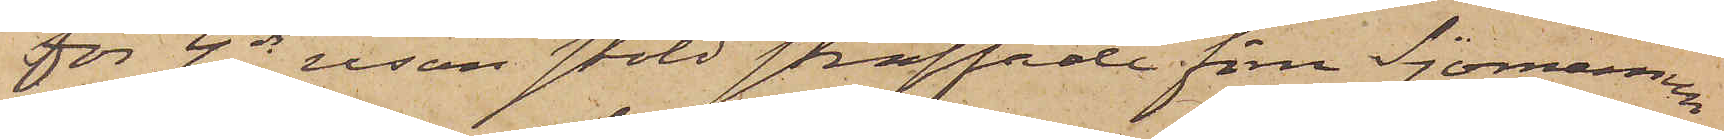för 4de resan stöld straffade förre Sjömannen
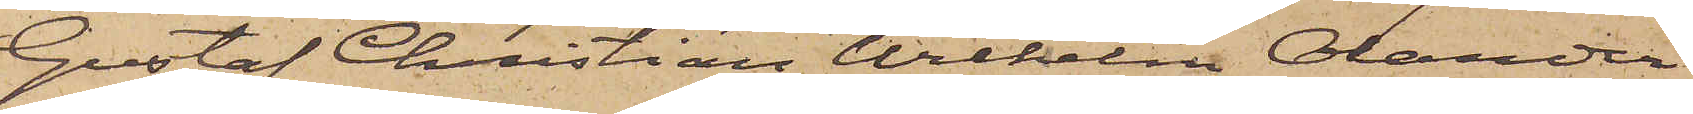Gustaf Christian Wilhelm Olander
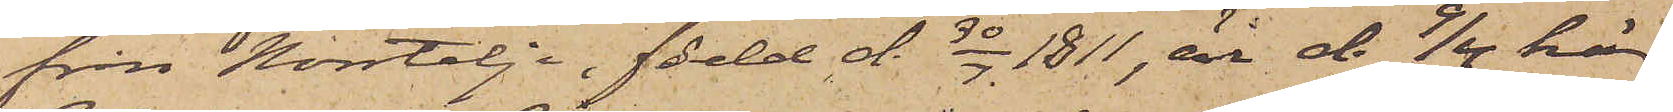från Norrtelje, född d. 30/7 1811, är d. 9/4 här
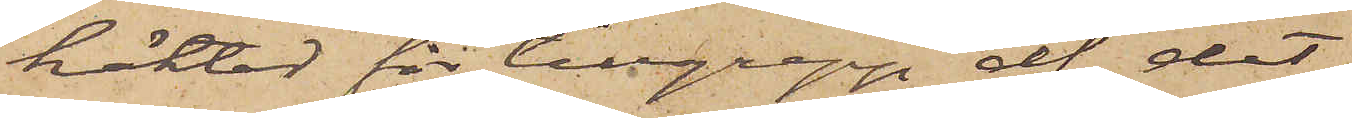häktad för tillgrepp af det
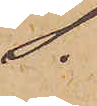S.
